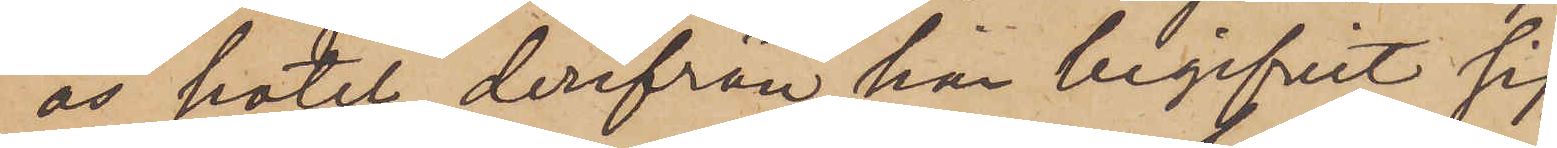ås hotel derifrån han begifvit sig
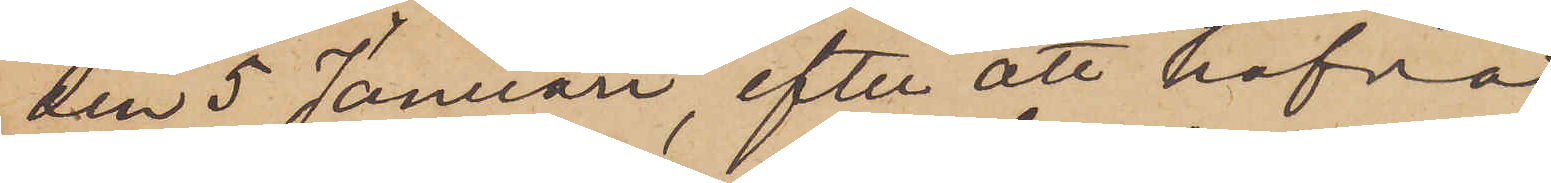den 5 Januari, efter att hafva
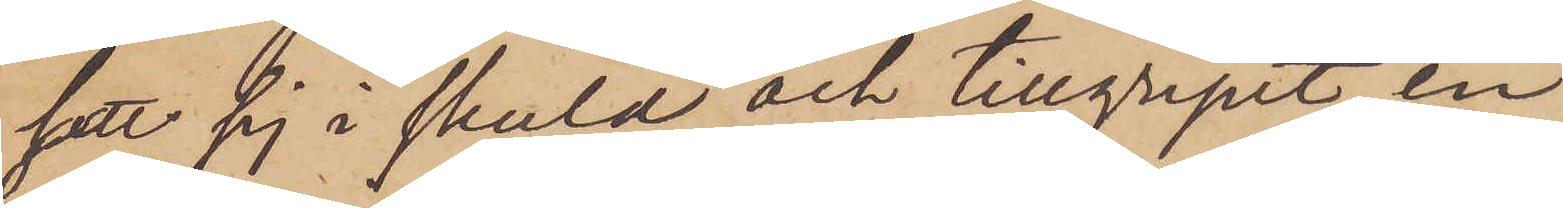satt sig i skuld och tillgripit en
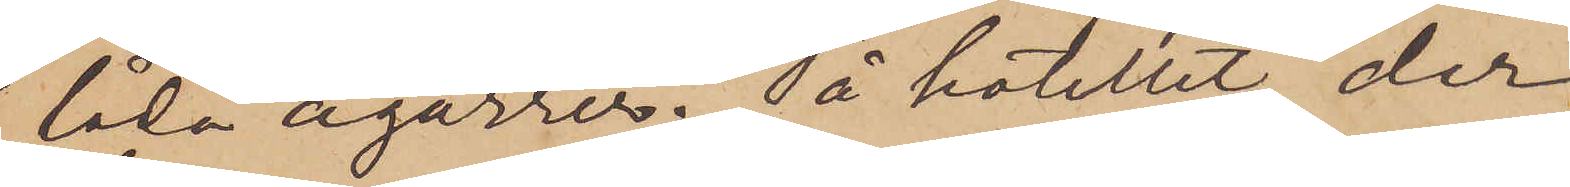låda cigarrer. På hotellet, der
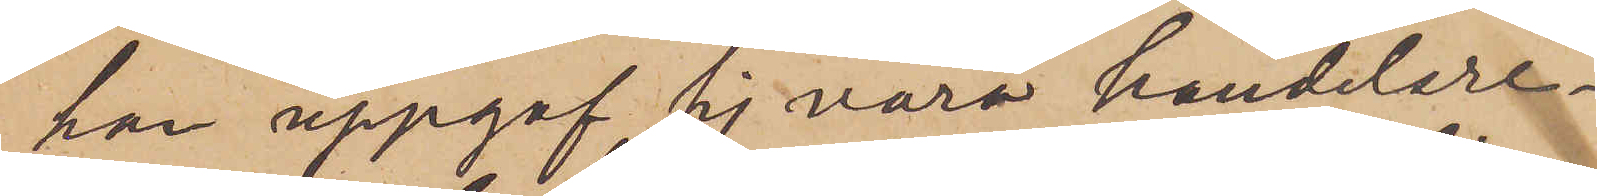har uppgaf sig vara handelsre¬
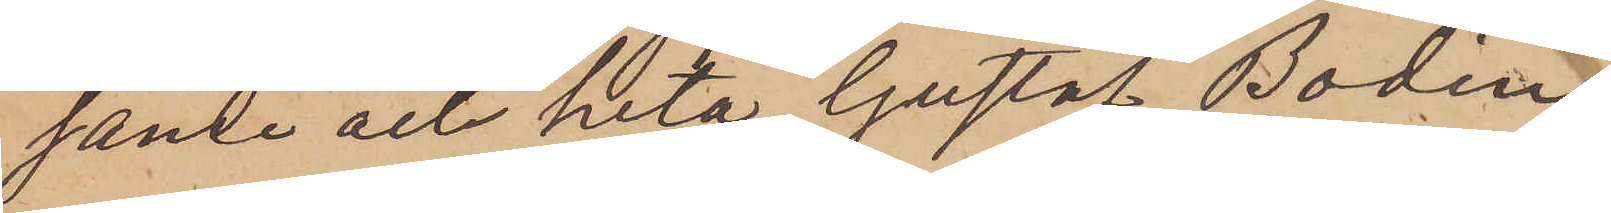sande och heta Gustaf Bodin,
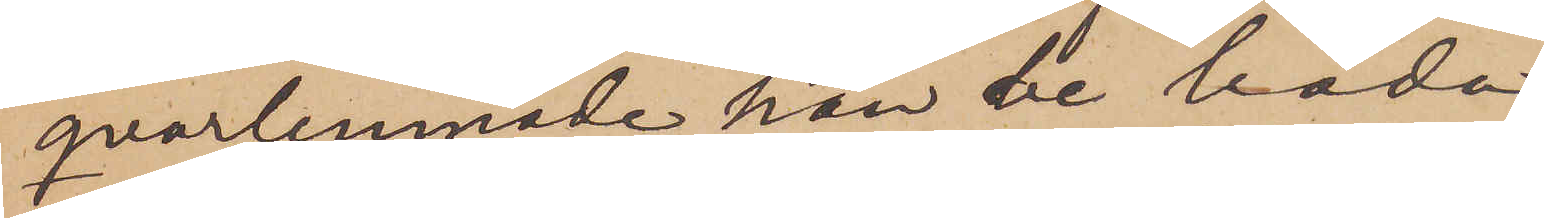qvarlemnade han de båda
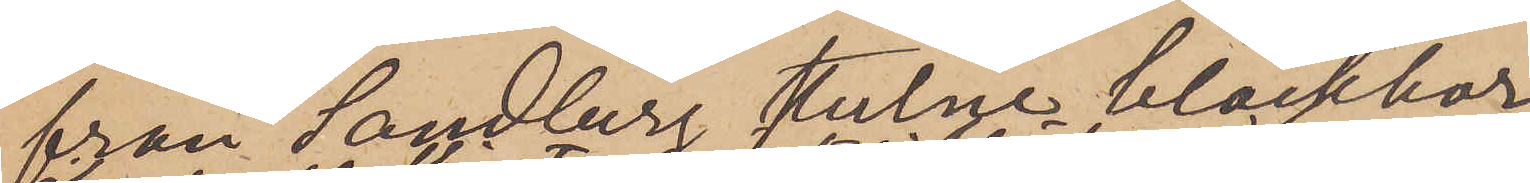från Sandberg stulne bläckhor¬
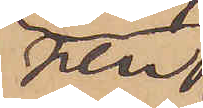nen,
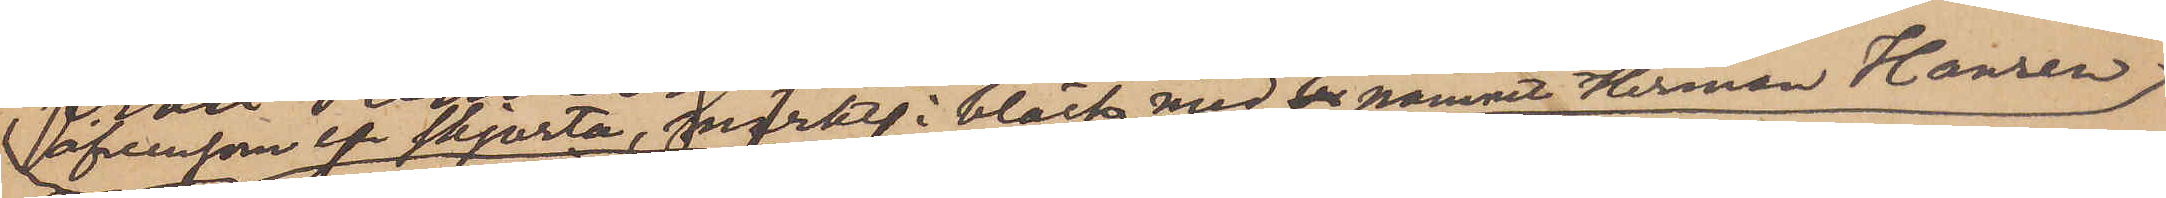äfvensom en skjorta, märkt i bläck med en namnet Herman Hansen
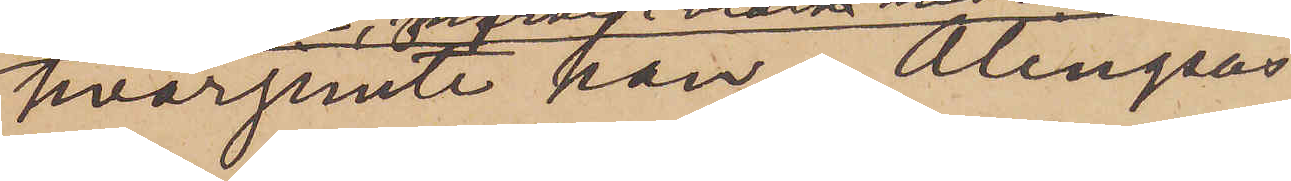hvarjemte han i Alingsås
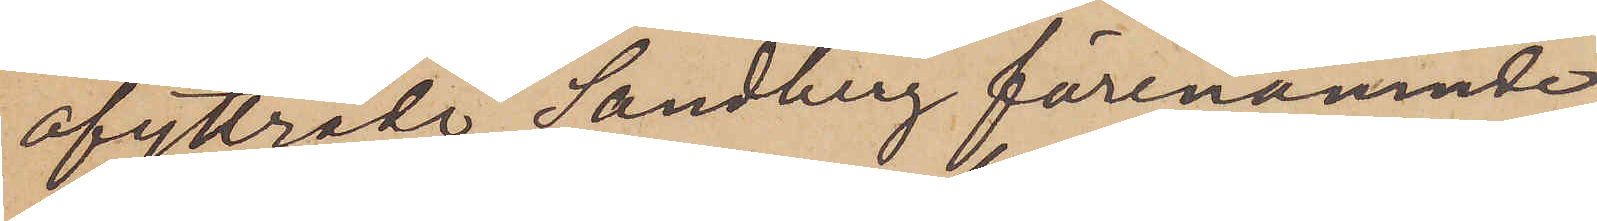afyttrade Sandberg förenämnde
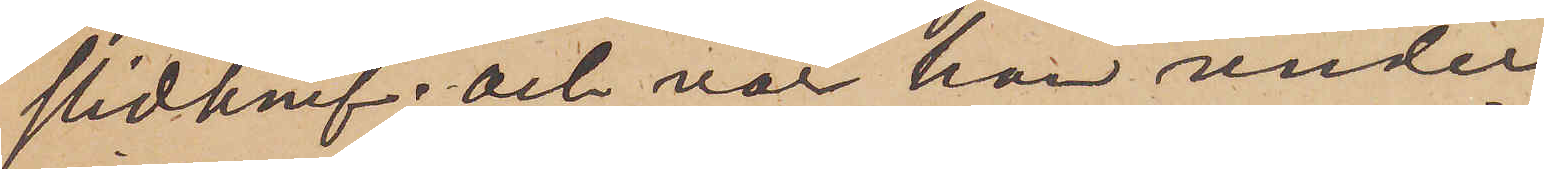slidknif; och var han under
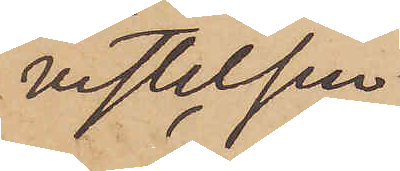vistelsen
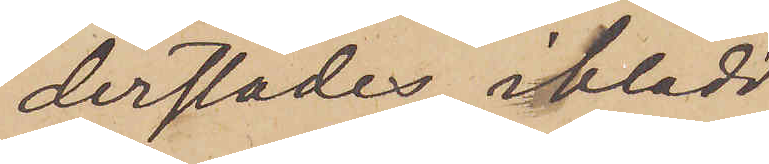derstädes iklädd
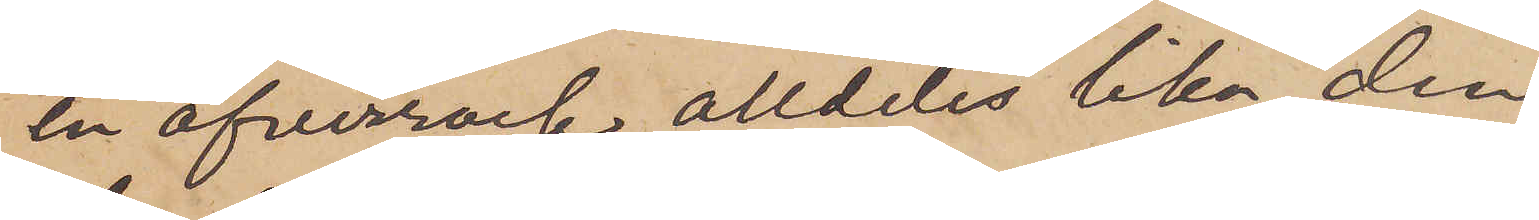en öfverrock alldeles lika den
